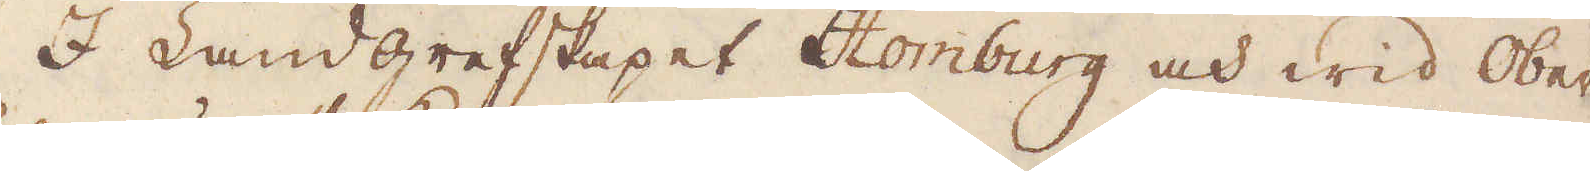I Landgrefskapet Homburg och wid Ober
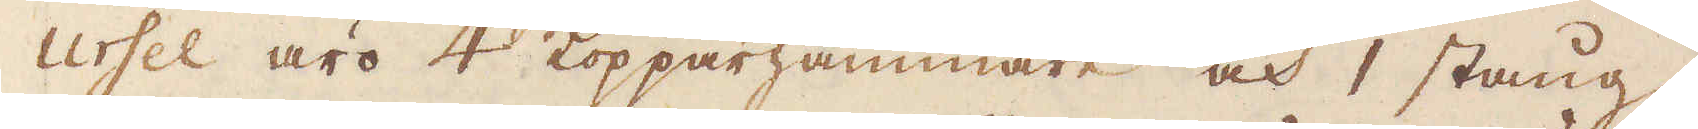ursel äro 4 Kopparhammare och 1 stång-
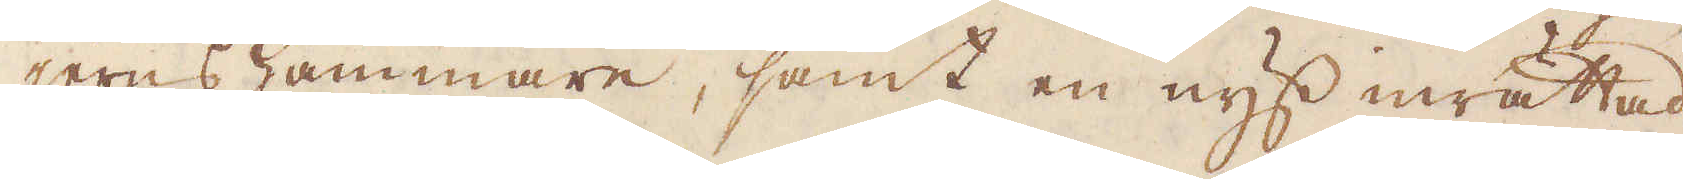jerns hammare, samt en nyss inrättad
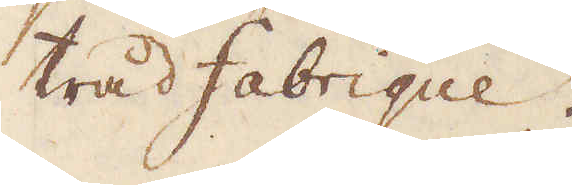tråd fabrique.
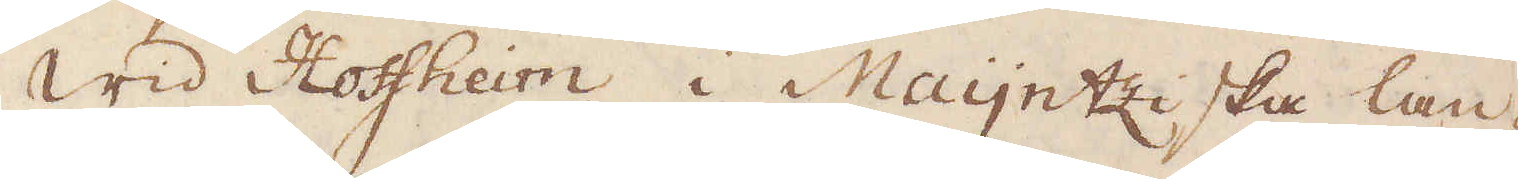Wid Hoffheim i Maijntziska lan-
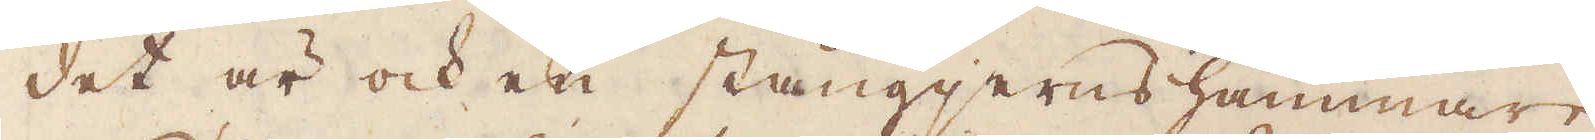det är ock en stångjerns hammare.
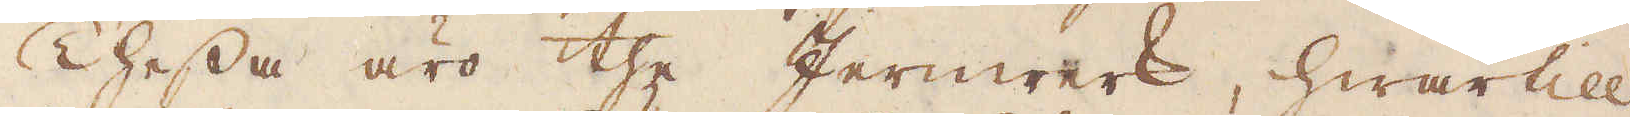Thessa äro the Jernwerk, hwartill
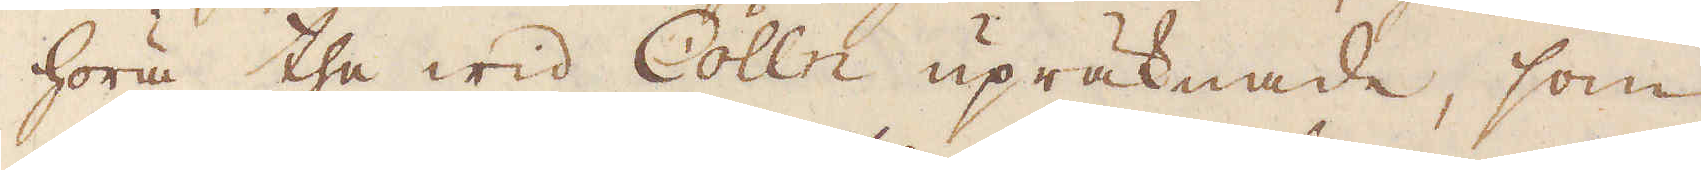höra the wid Cölln upräknade, som
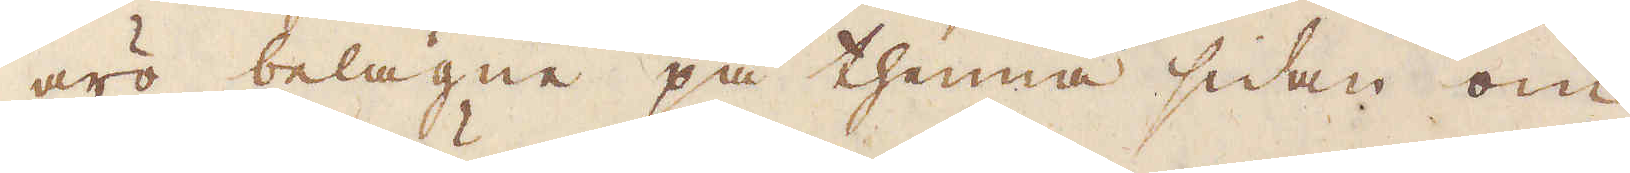äro belägne på thenna sidan om
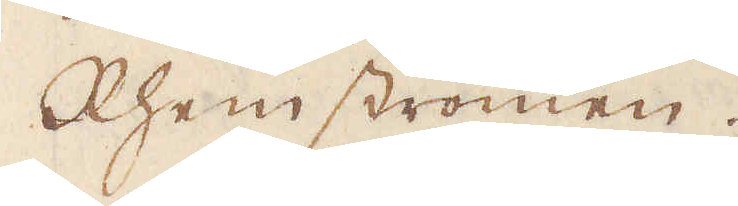Rheinströmen.
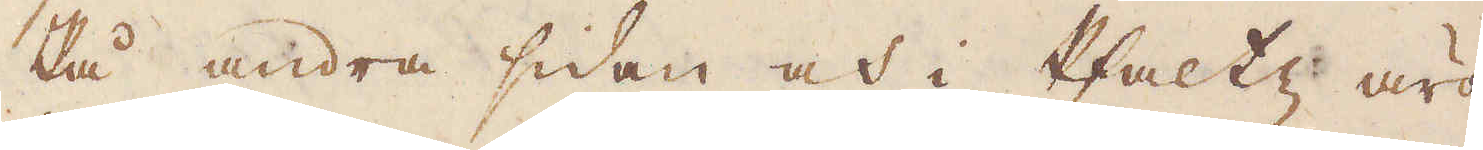På andra sidan och i Pfaltz äro
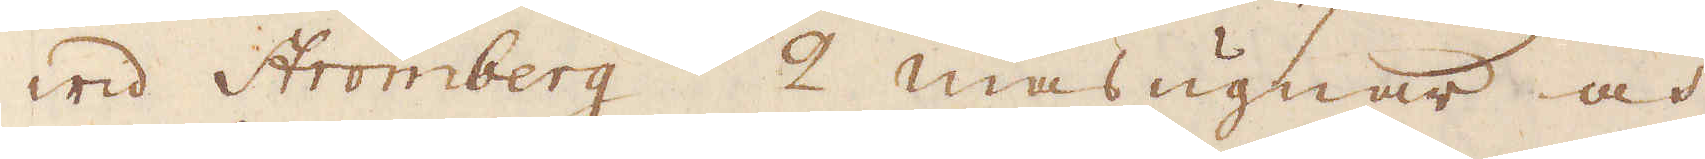wid Stromberg 2 masugnar och
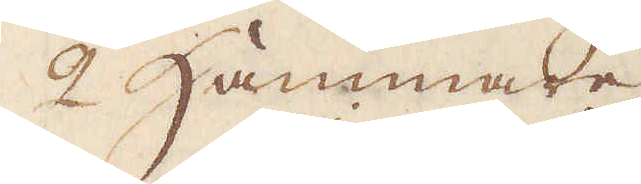2 Hammare.
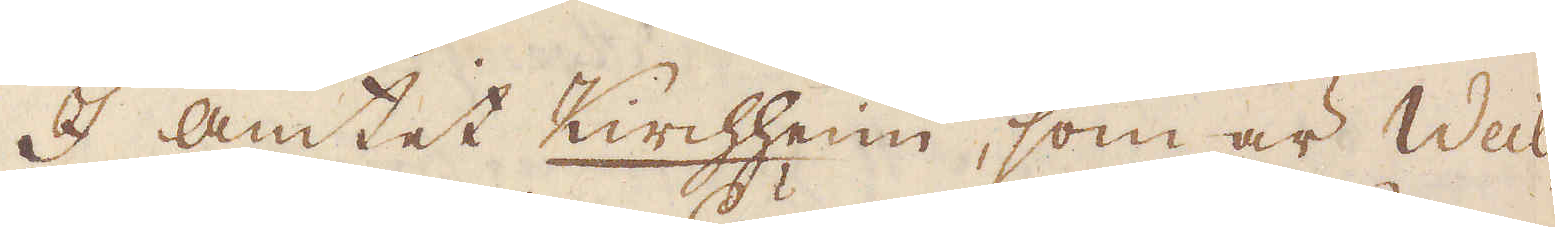I amtet Kirchheim, som är Weil-
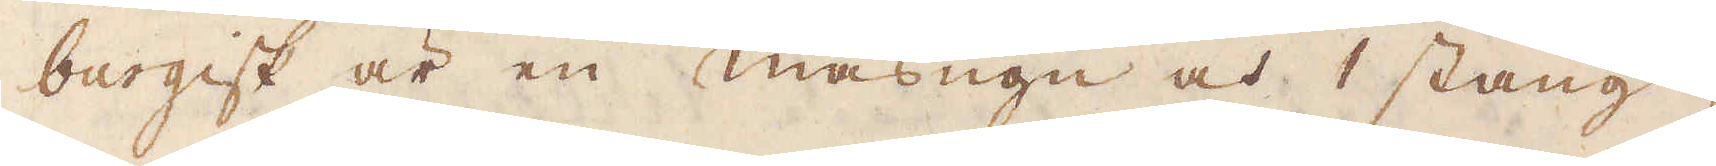burgisk är en masugn och 1 stång-
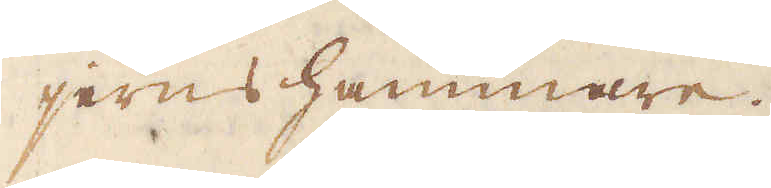jerns hammare.
